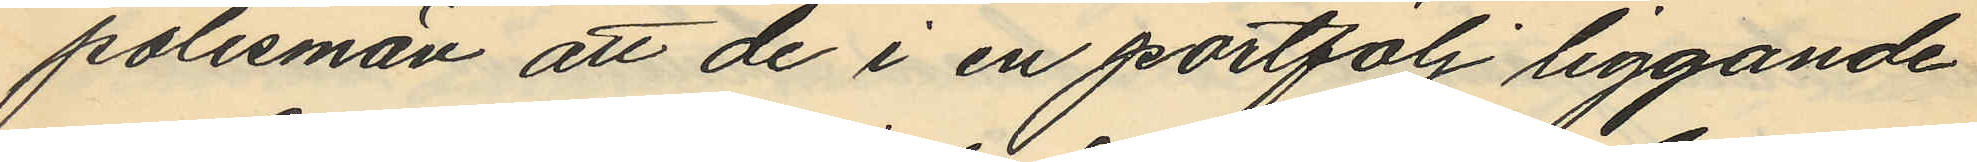polismän att de i en portfölj liggande
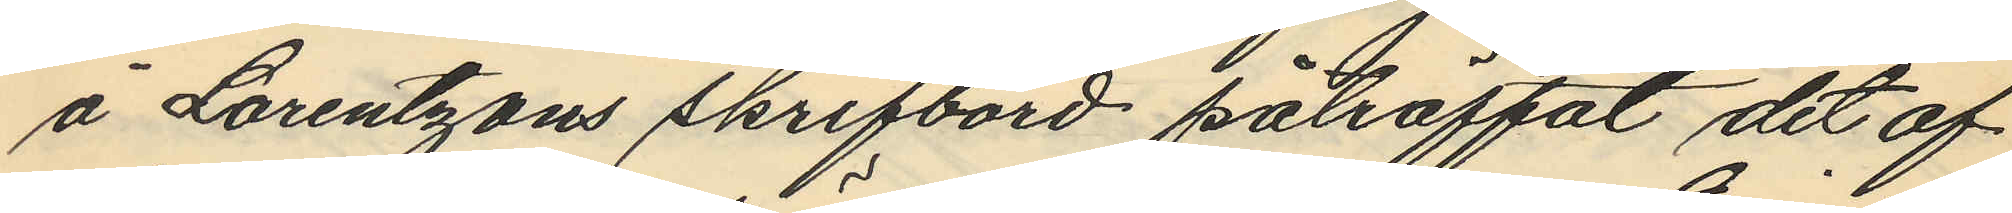å Lorentzons skrifbord påträffat det af
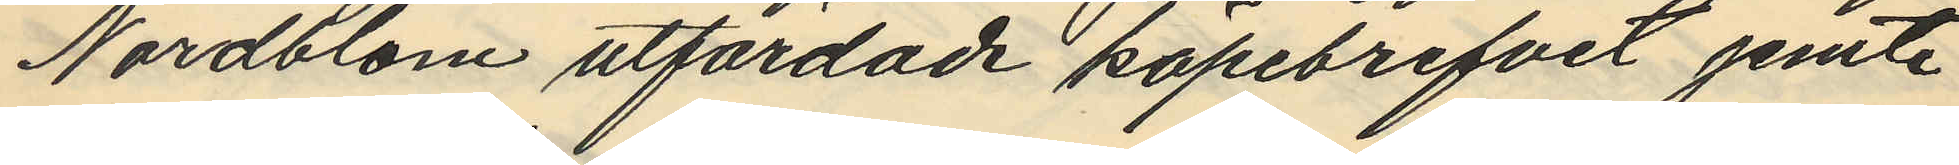Nordblom utfärdade köpebrefvet jemte
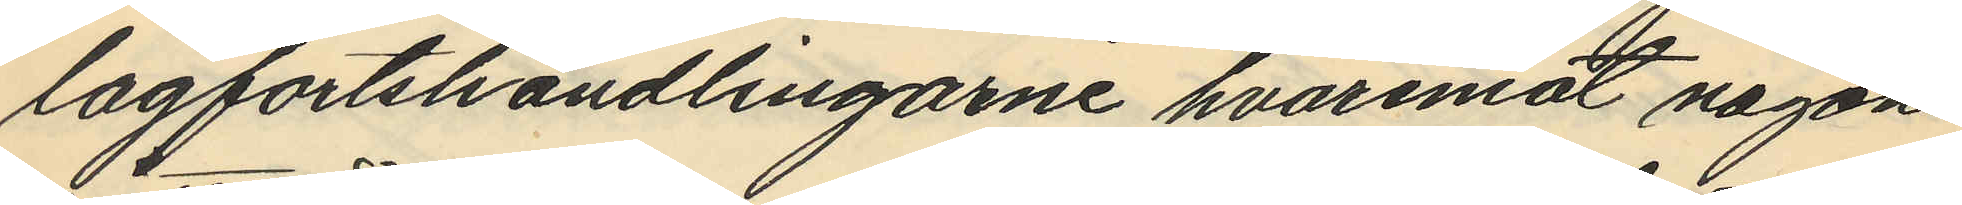lagfartshandlingarne hvaremot någon
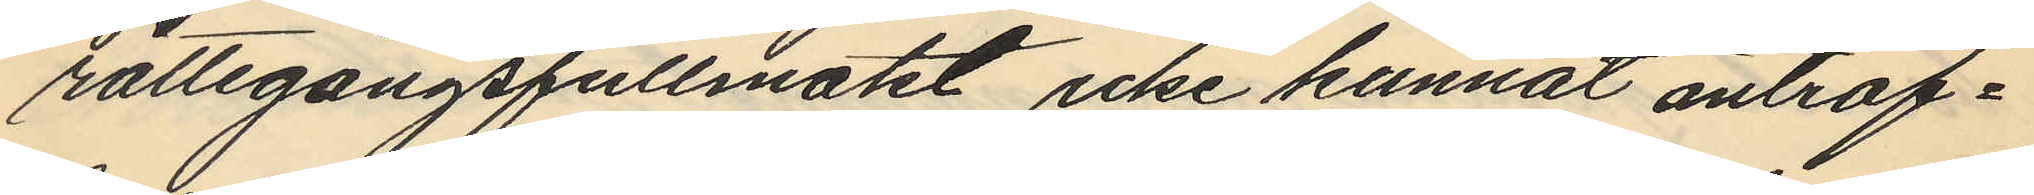rättegångsfullmakt icke kunnat anträf¬
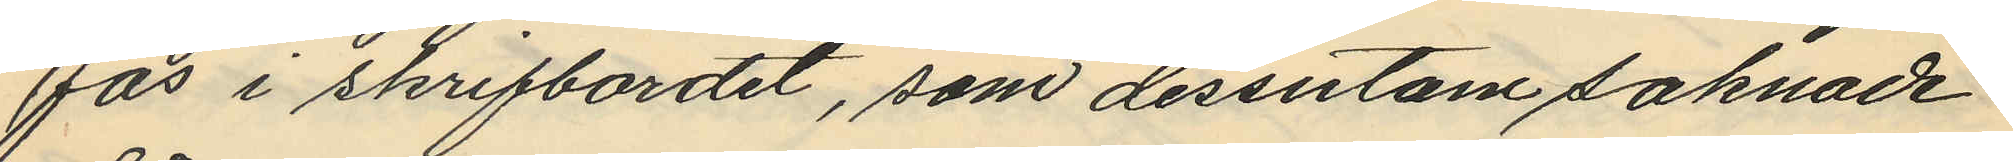fas i skrifbordet, som dessutom saknade
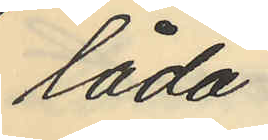låda
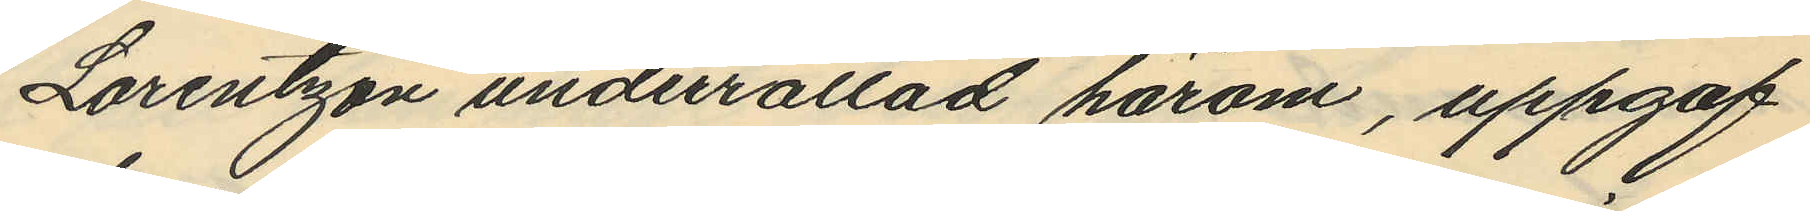Lorentzon underrättad härom, uppgaf
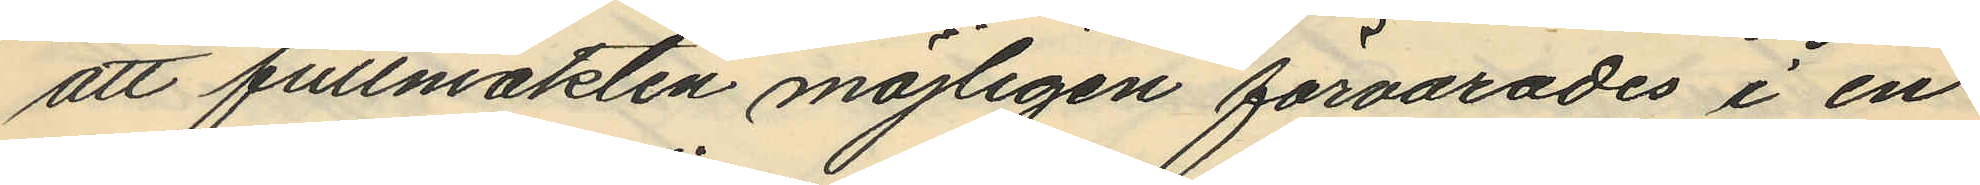att fullmakten möjligen förvarades i en
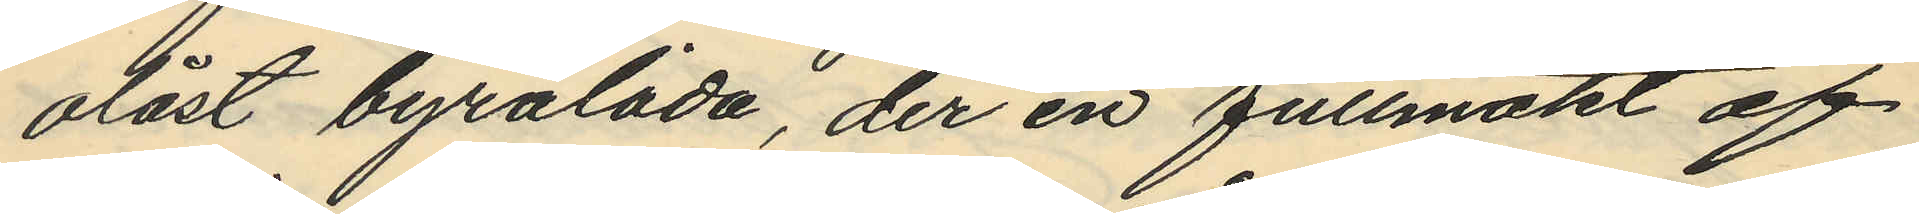olåst byrålåda, der en fullmakt af
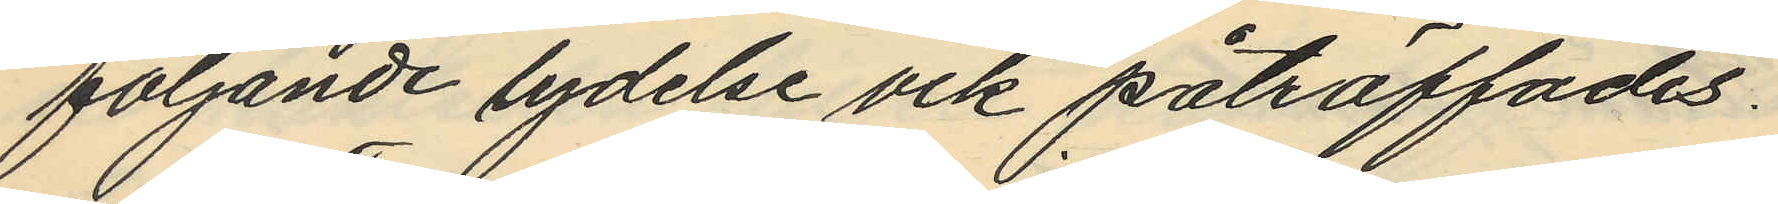följande lydelse ock påträffades.
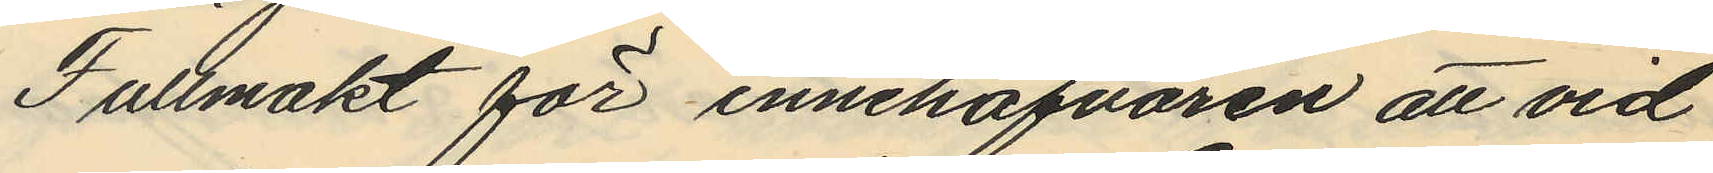Fullmakt för innehafvaren att vid
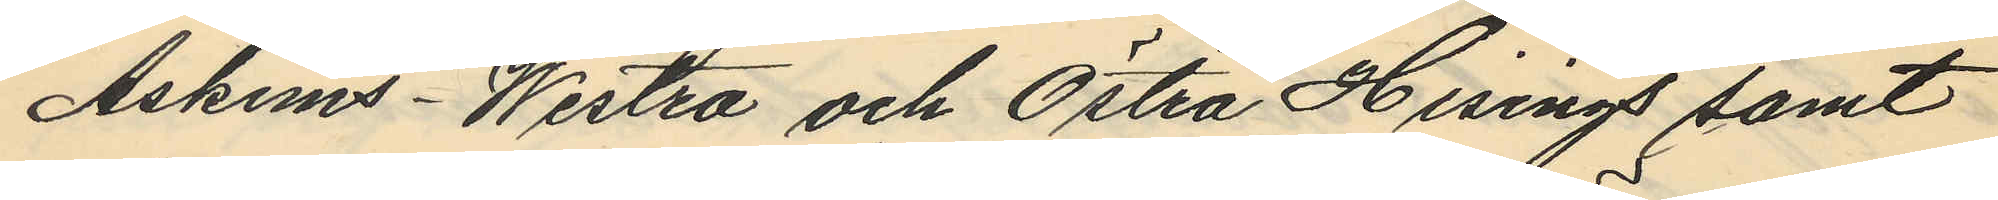Askims - Westra och Östra Hisings samt
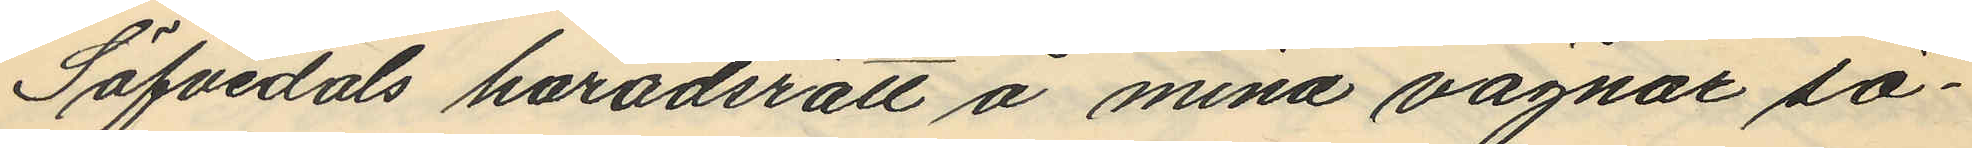Säfvedals haradsrätt å mina vägnar sö¬
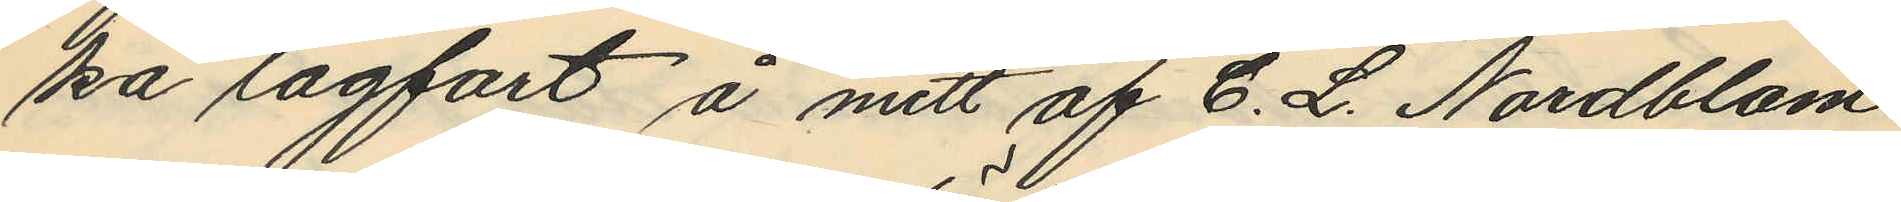ka lagfart å mitt af C. L. Nordblom
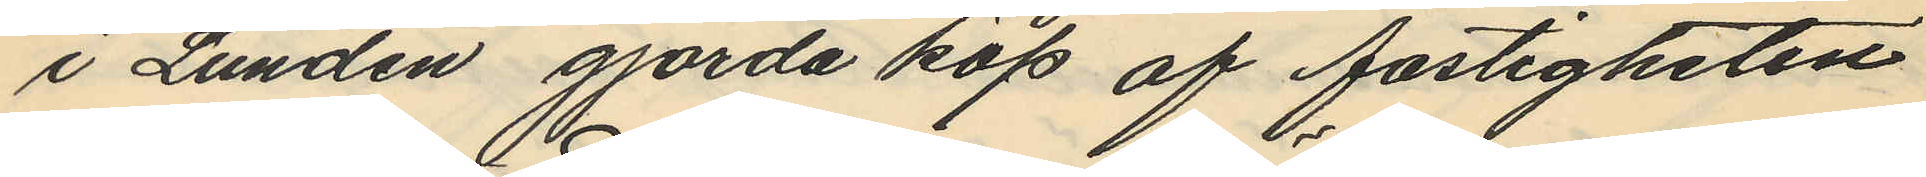i Lunden gjorda köp af fastigheten
